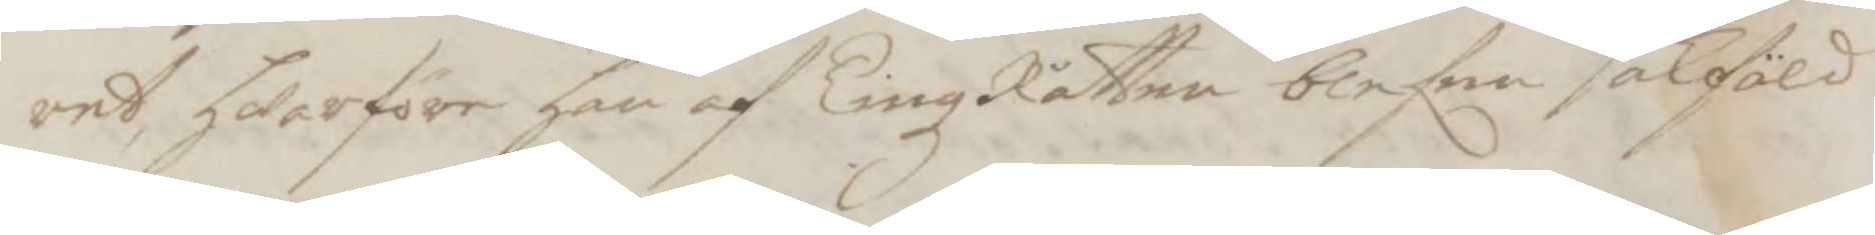ret, hwarföre han af TingzRätten blefen sakfäld
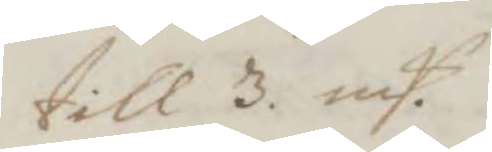till 3. mP.
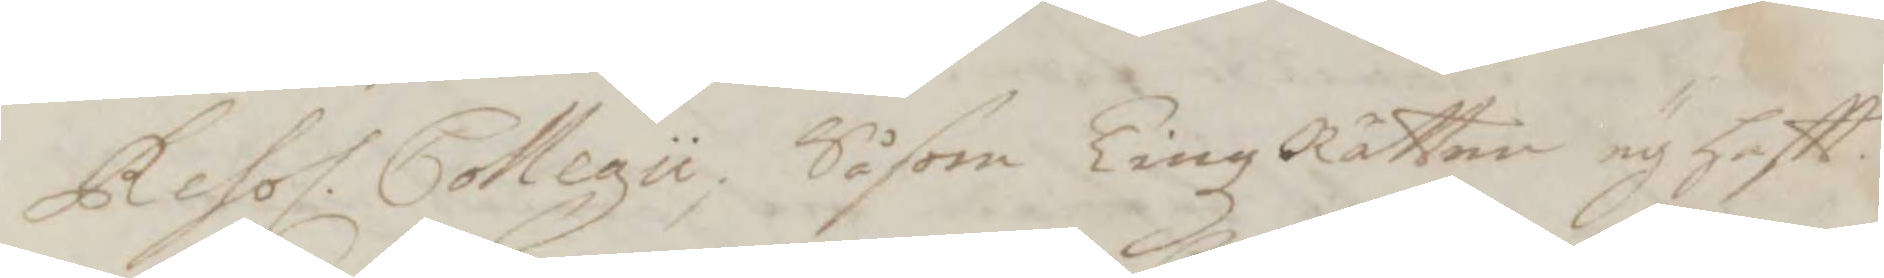Resol. Collegii, Såsom TingzRätten ey haftt
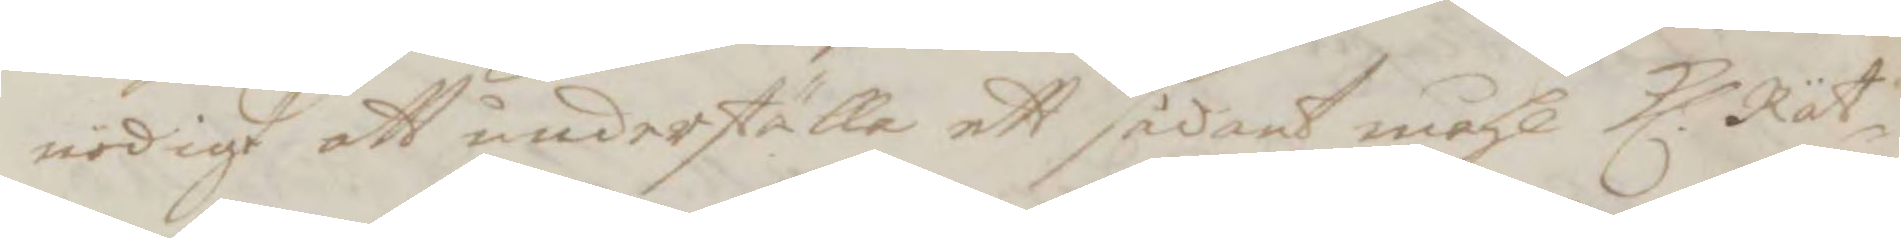nödigt att underställa ett sådant måhl Kl. Rät¬
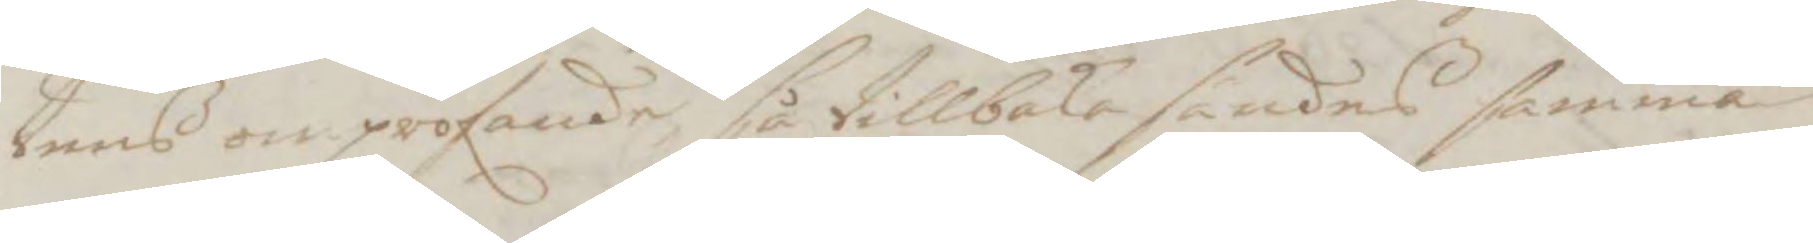tens ompröfande, så tillbakasändes samma
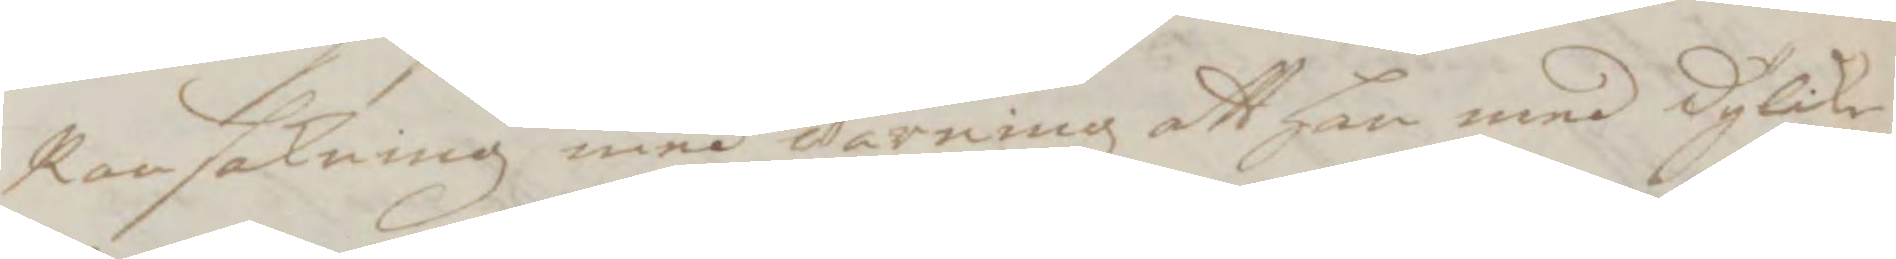Ransakning med warning att han med dylike
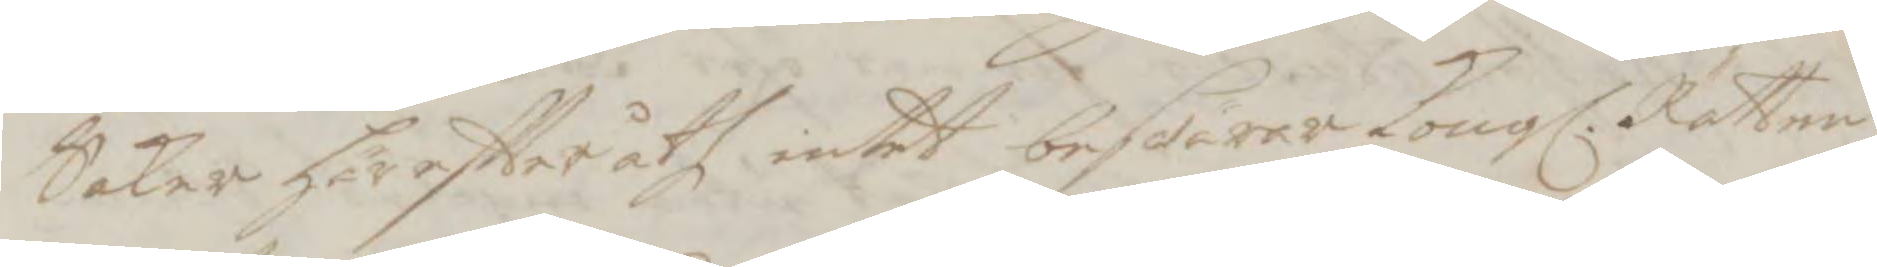Saker häreftteråth intet beswära Kongl. Rätten
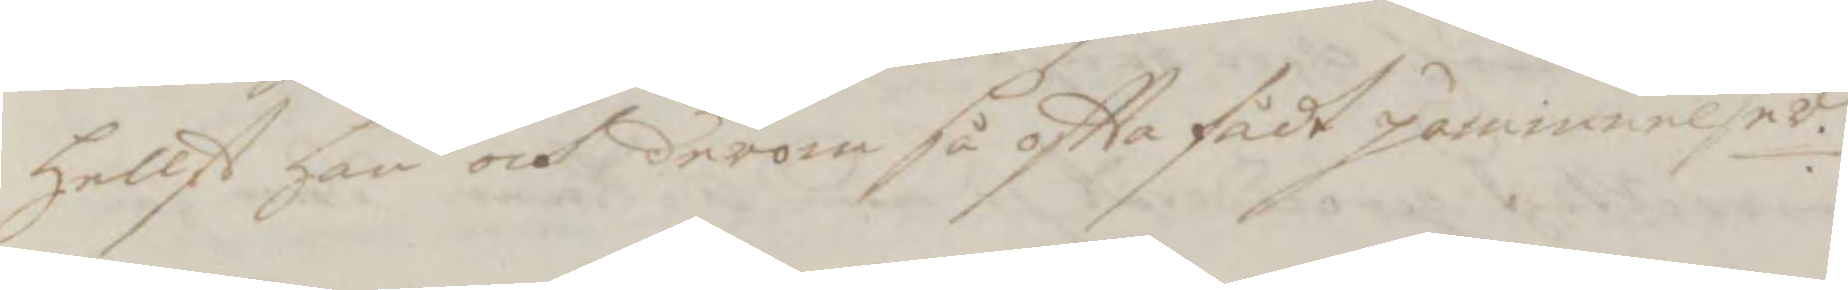hellst han och derom så oftta fådt påminnelser.
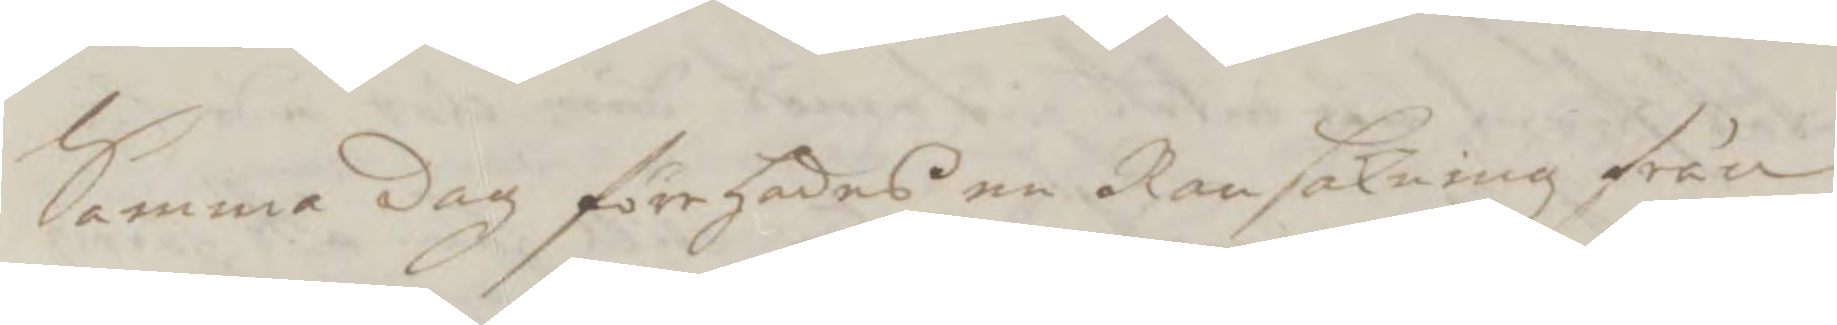Samma dag förehades en Ransakning från
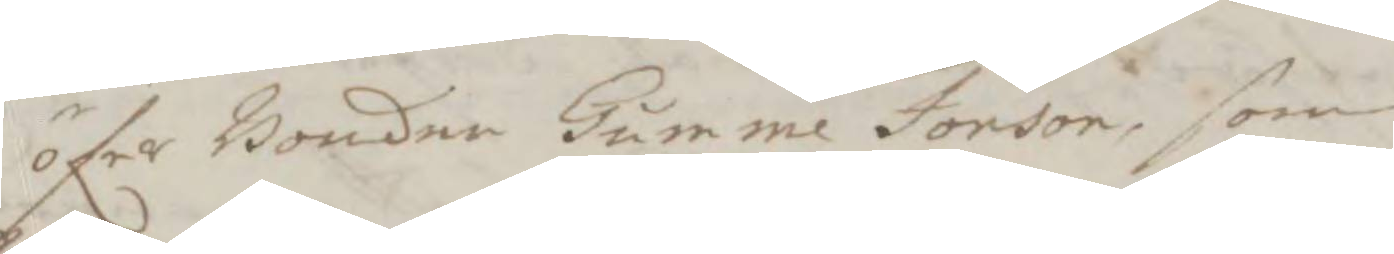öfer Bonden Gumme Jonson, som
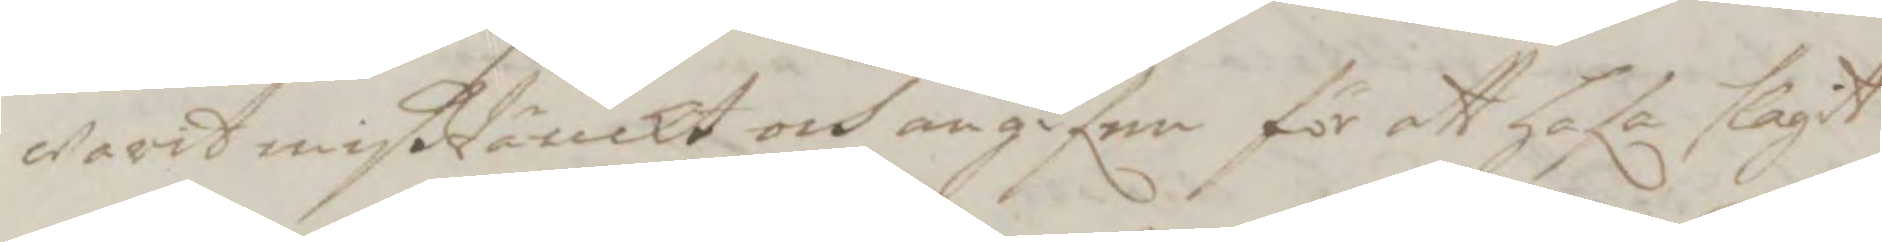warit mißtänkt och angifen för att hafa slagit
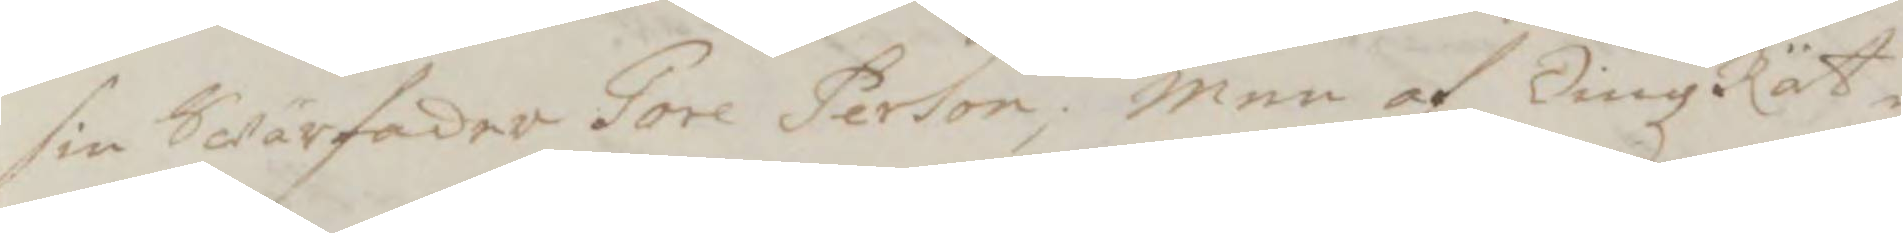sin Swärfader Tore Person; men af TingzRät¬
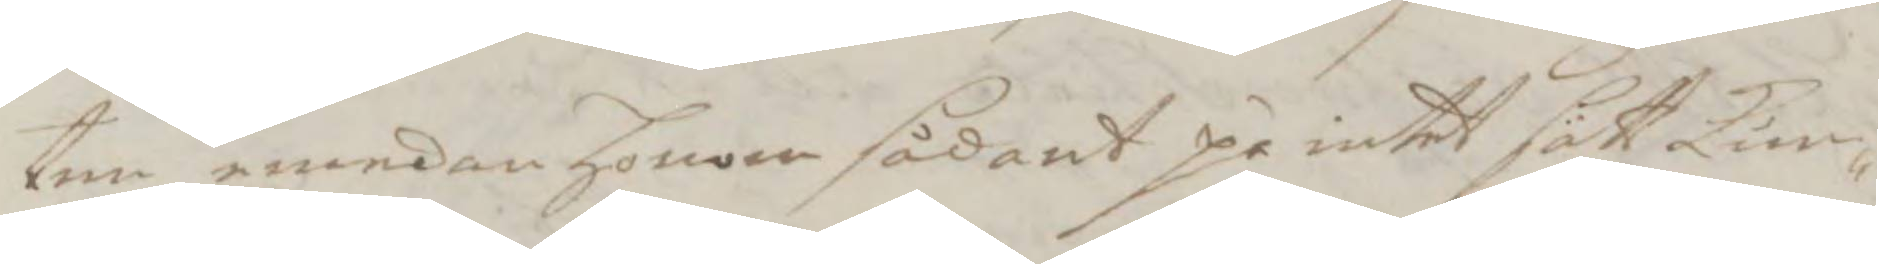ten emedan honom sådant på intet sätt kun¬
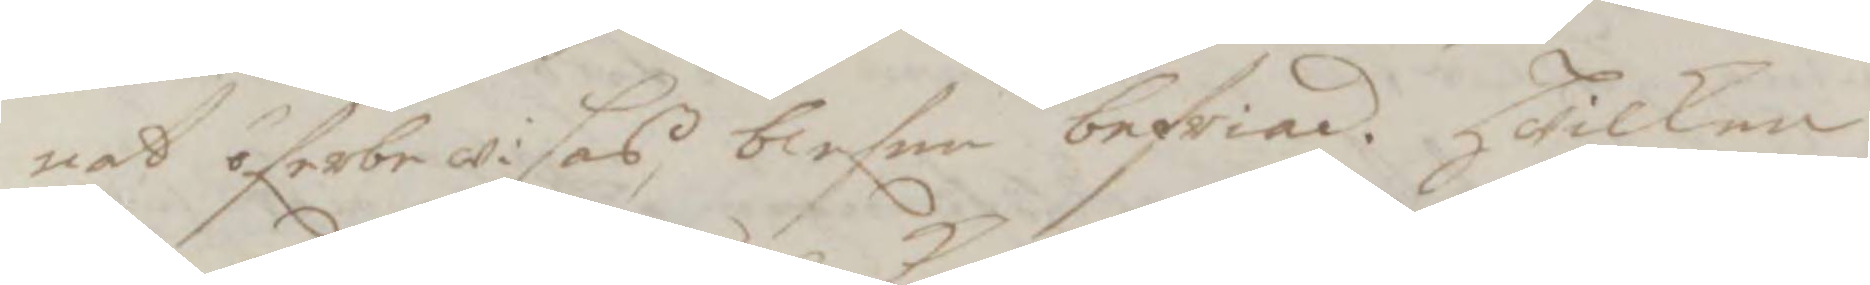nat öferbewisas, blefen befriad. Hwilken
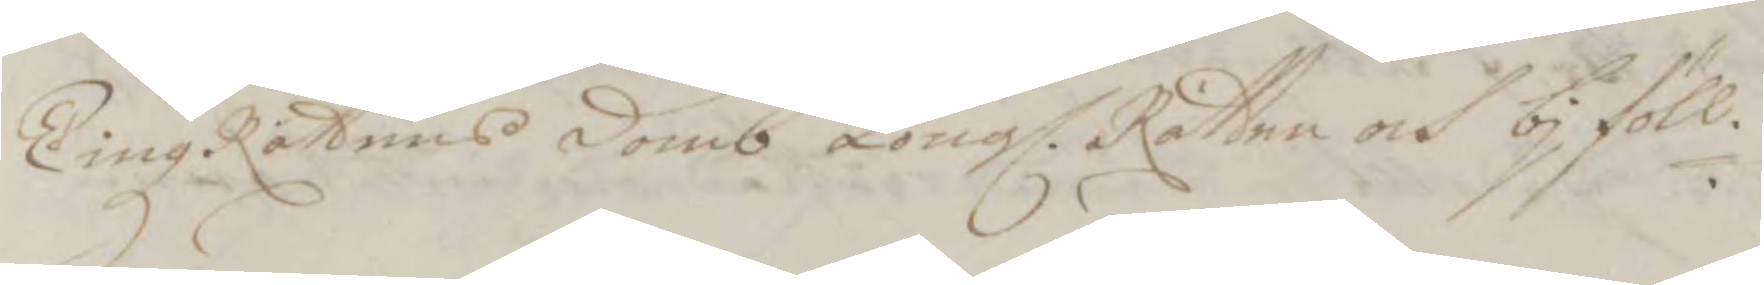TingzRättens domb Kongl. Rätten och bjföll.
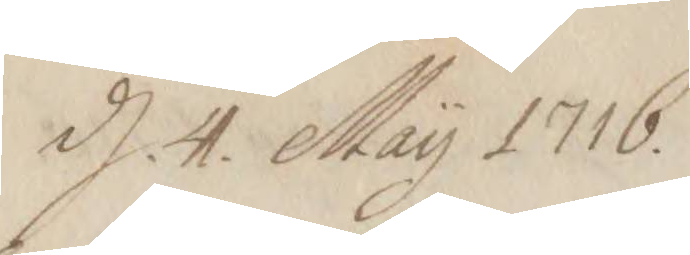d. 4. May 1716.
